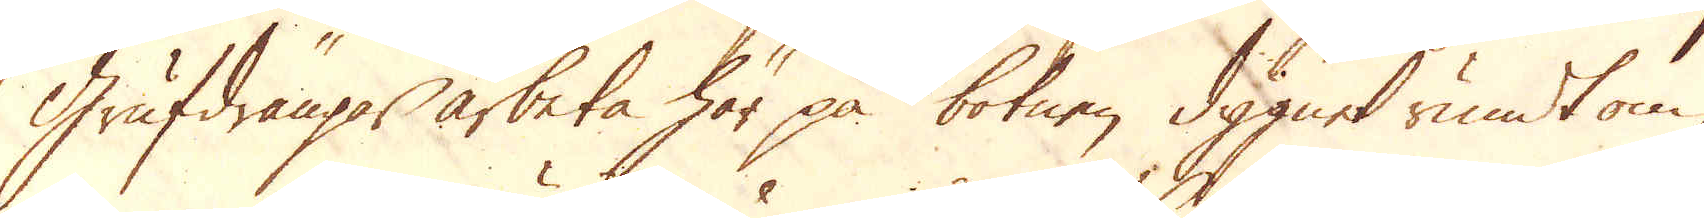Grufdrängar arbeta här på botnen dygnet rundt om
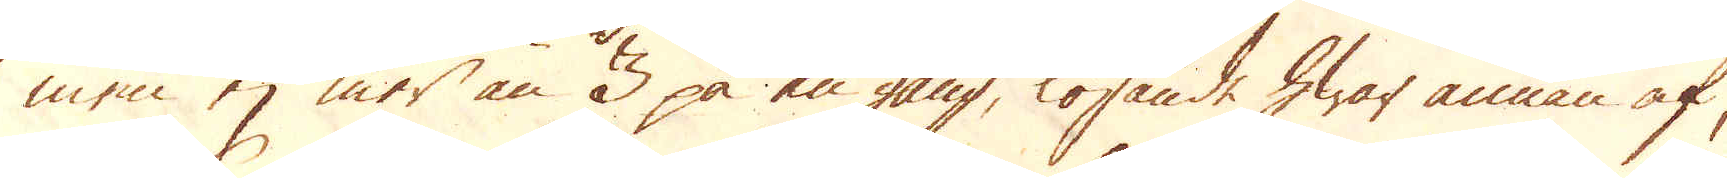men ej mer än 3 på en gång, lösande hwar annan af,
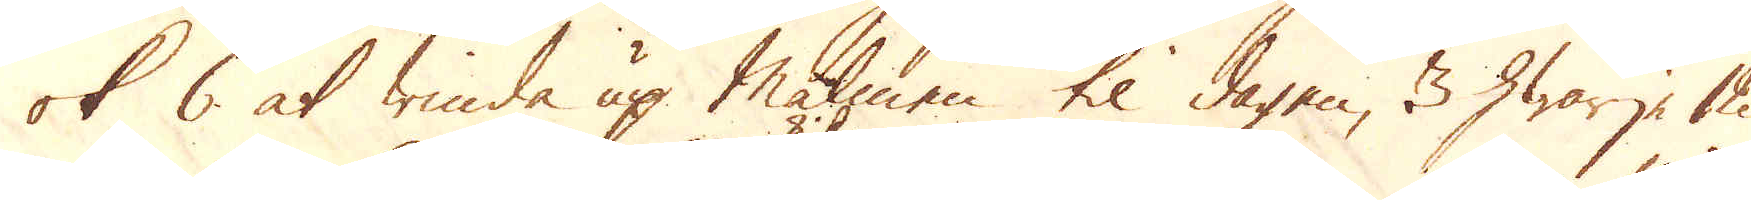ok 6 at winda up Malmen til dagen, 3 hwarje 12
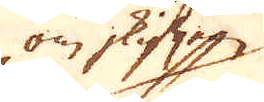om skiften
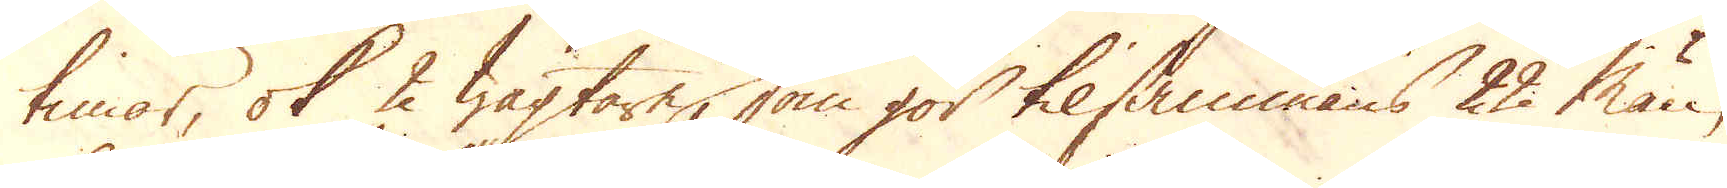timar, ok 2 wagtare, som gör tilsammans 22 män,
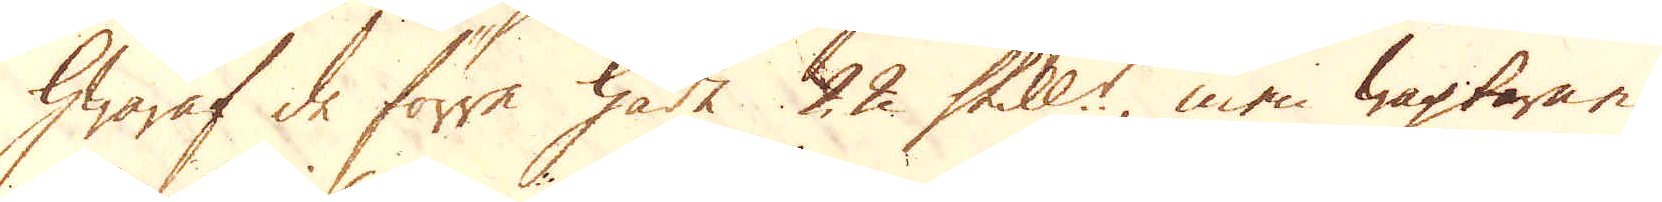hwaraf de förra hade 22 Skill:r, men wagtarne
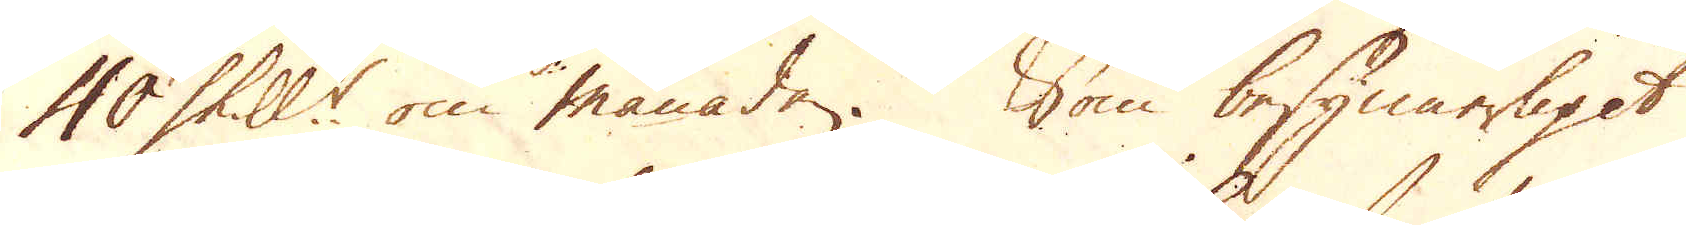40 Skill:r om månaden. Som besynnerligit
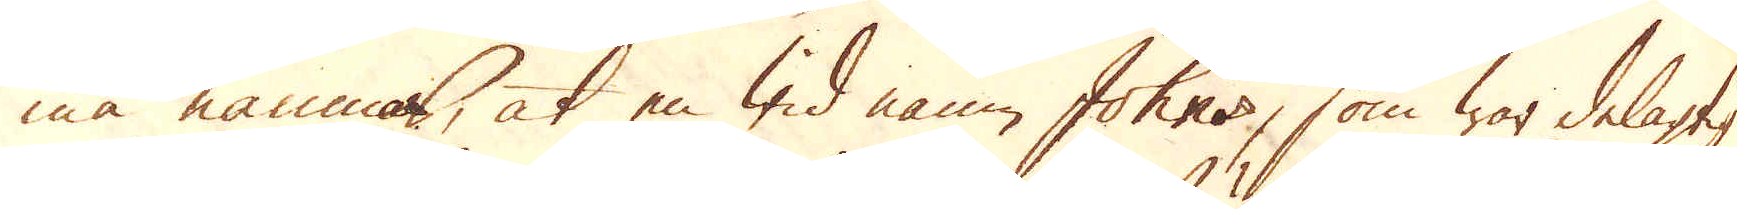må nämnas, at en wid namn Johns, som war delagtig
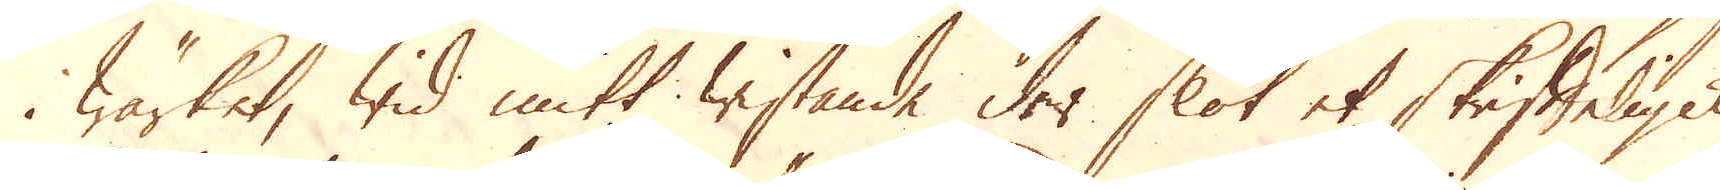i Wärket, wid mitt wistande der slöt et skrifteligit
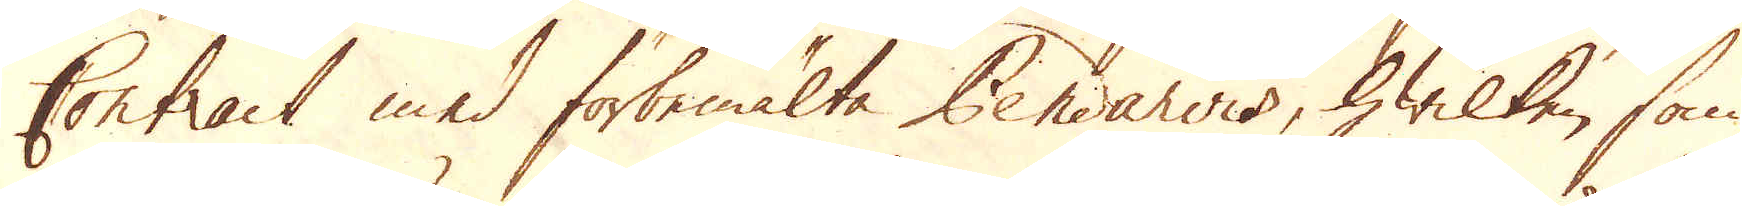Contract med förbemälte Pendawis, hwilken som
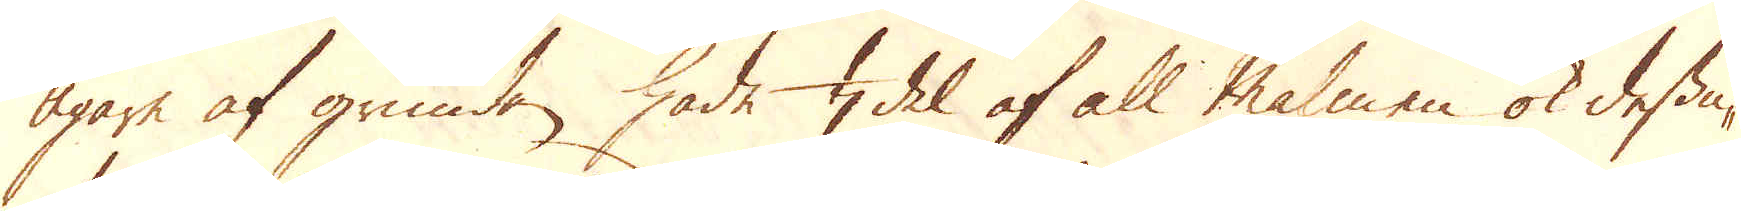Ägare af grunden, hade 1/4 del af all malmen ok dessu-
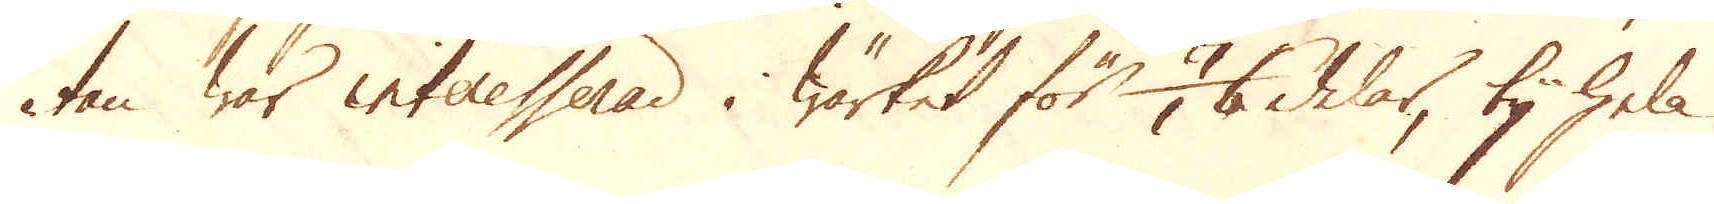tan war interesserad i Wärket för 7/16 delar, ty hela
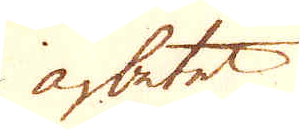arbetet
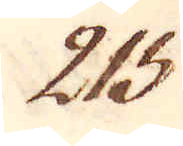215.
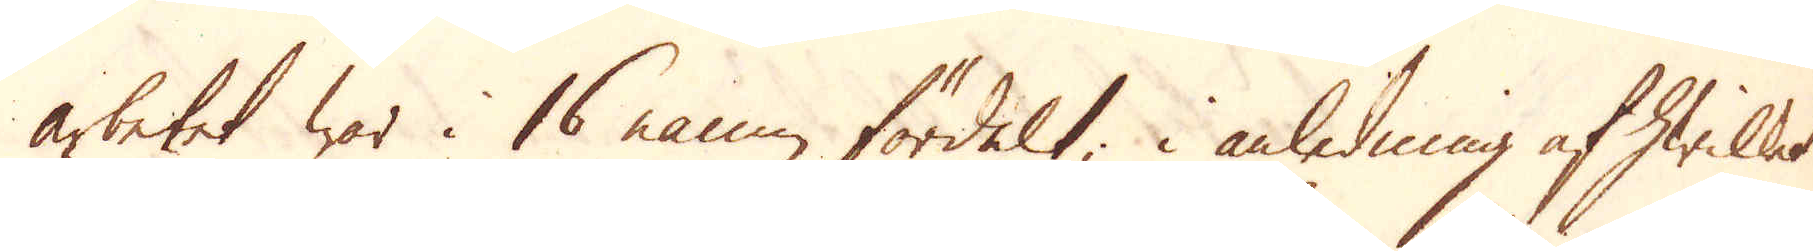arbetet war i 16 namn fördelt; i anledning af hwilket
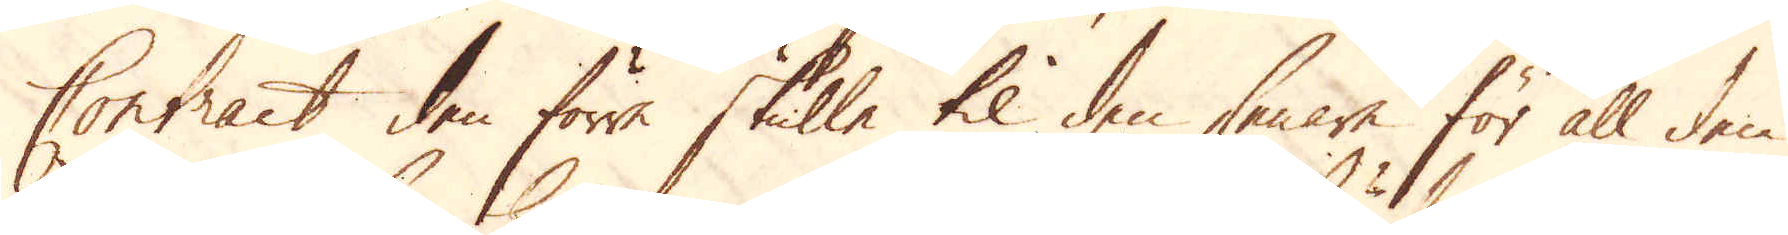Contract den förre skulle til den senare för all den
